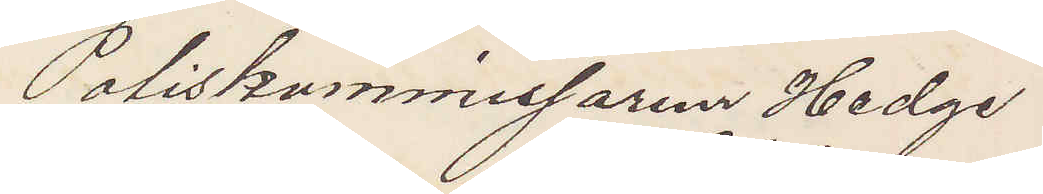Poliskammissaren Hedge
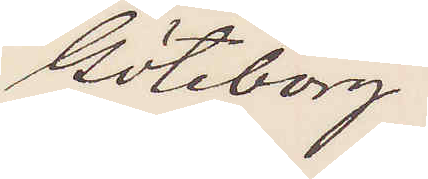Göteborg
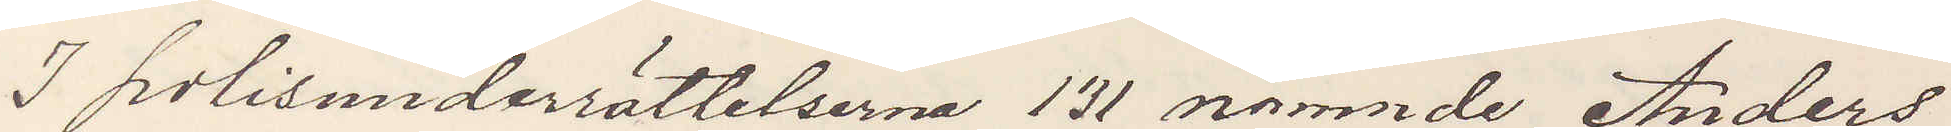I polisunderrättelserna 131 nämnde Anders
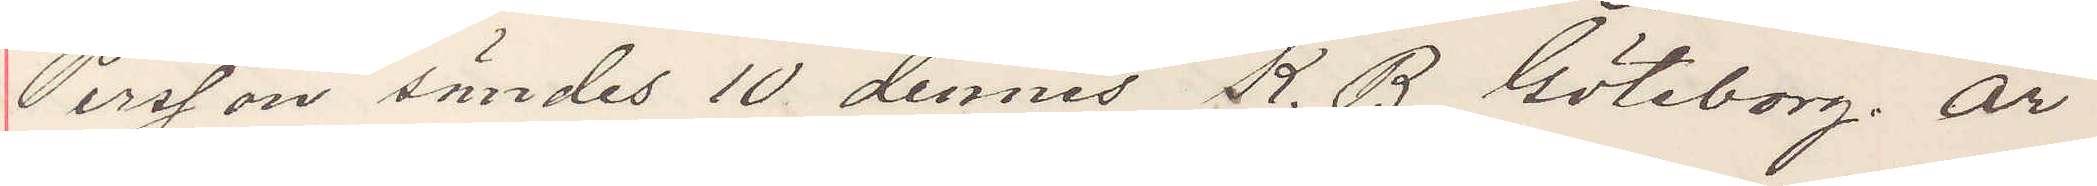Persson sändes 10 dennes K. B. Göteborg är
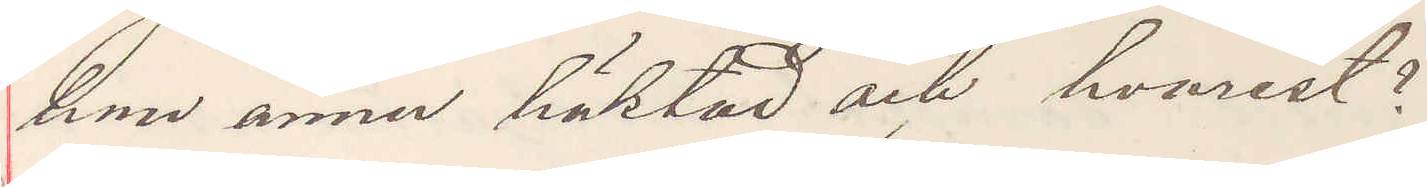han ännu häktad och hvarest?
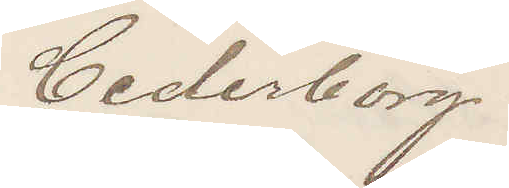Cederborg
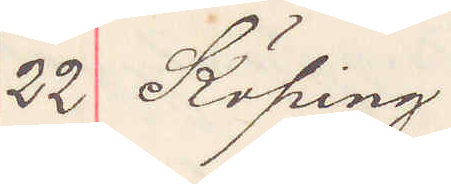22 Köping
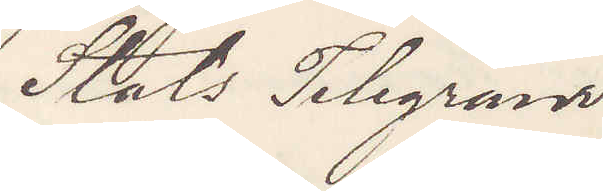Stats Telegram
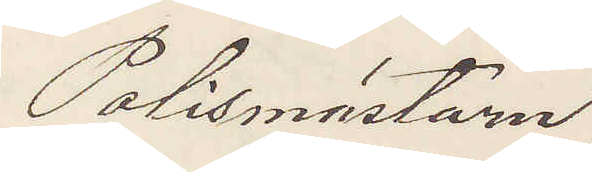Polismästaren
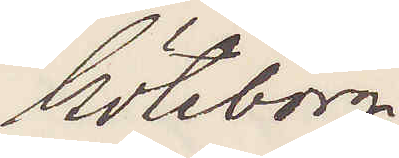Göteborg
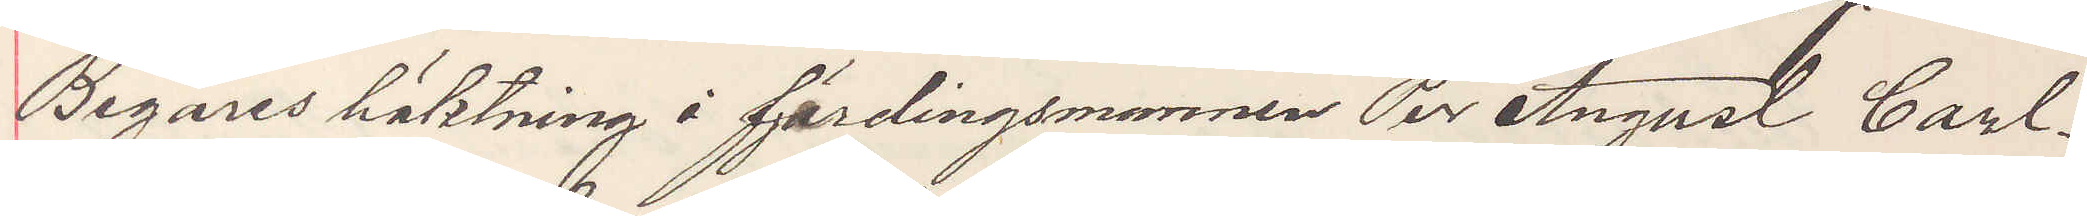Begäres häktning å fjärdingsmannen Per August Carl¬
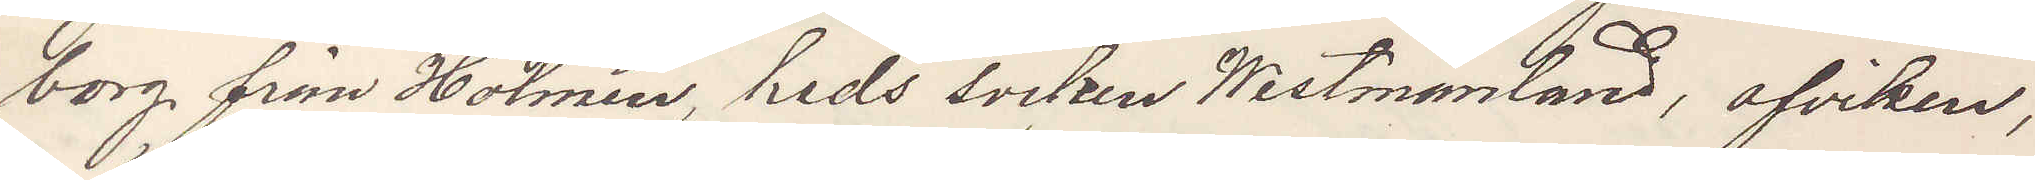borg från Holmen, heds socken Westmanland, afviken,
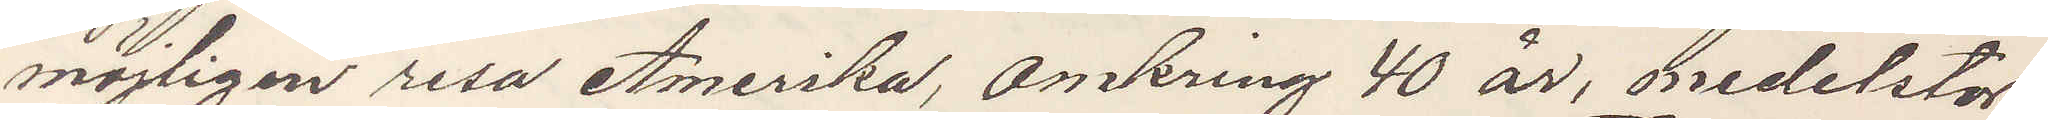möjligen resa Amerika, omkring 40 år, medelstor
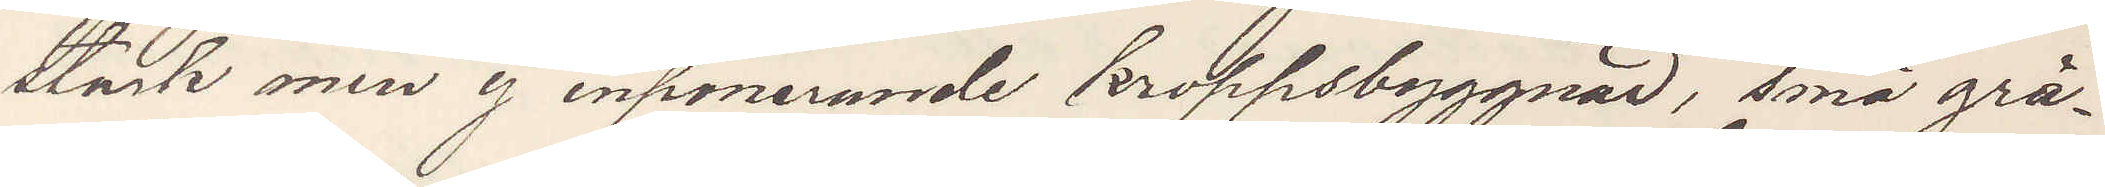stark men ej inponerande kroppsbyggnad, små grå¬
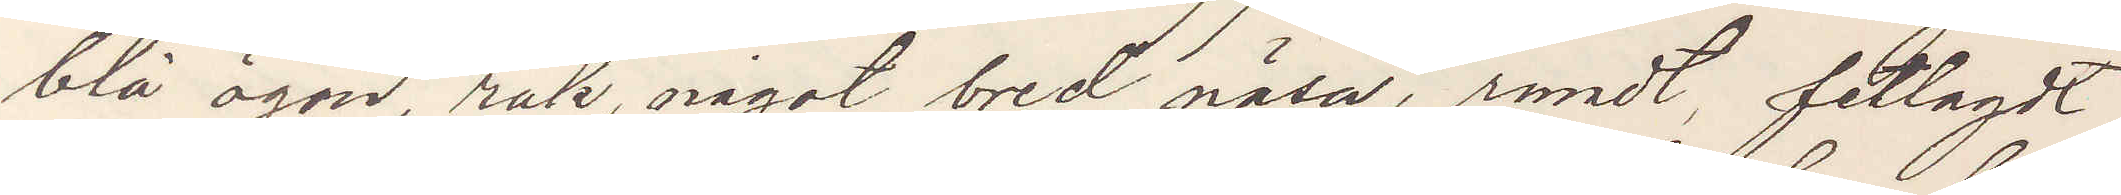blå ögon, rak, något bred näsa, rundt, fetlagdt
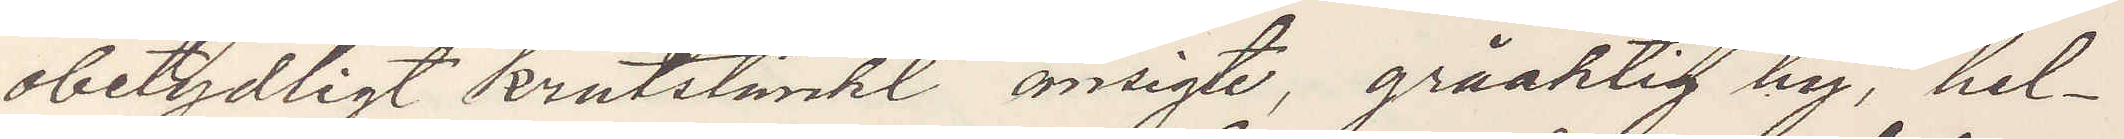obetydligt krutstänkt ansigte, gråaktig hy, hel¬
